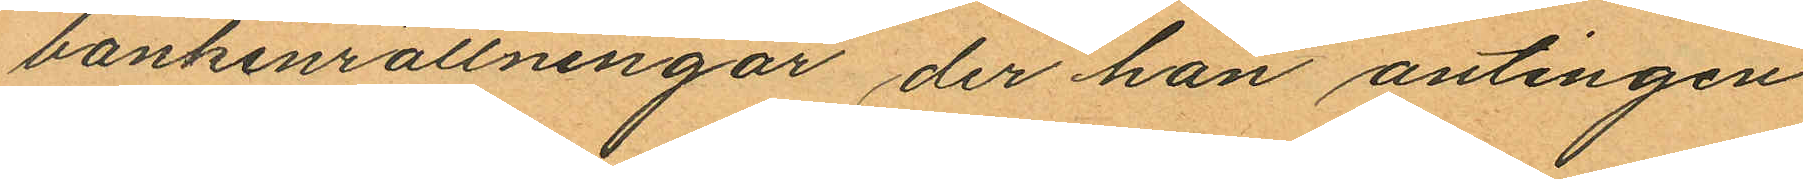bankinrättningar der han antingen
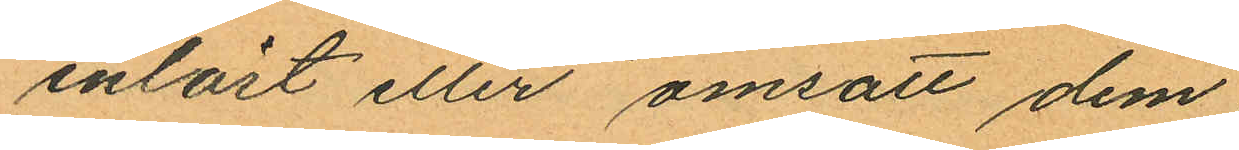inlöst eller omsatt dem;
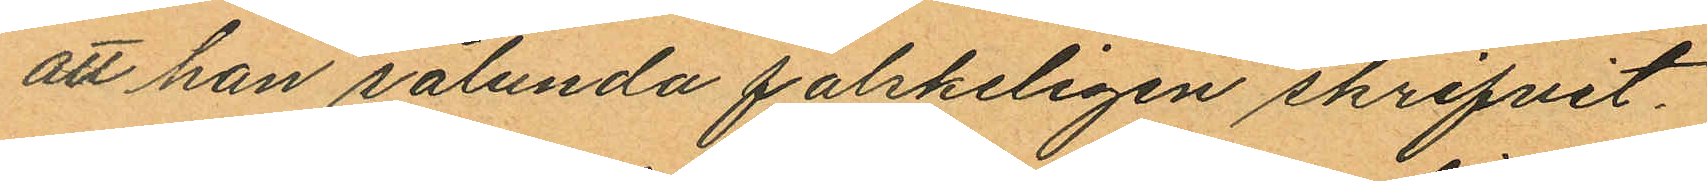att han sålunda falskeligen skrifvit.
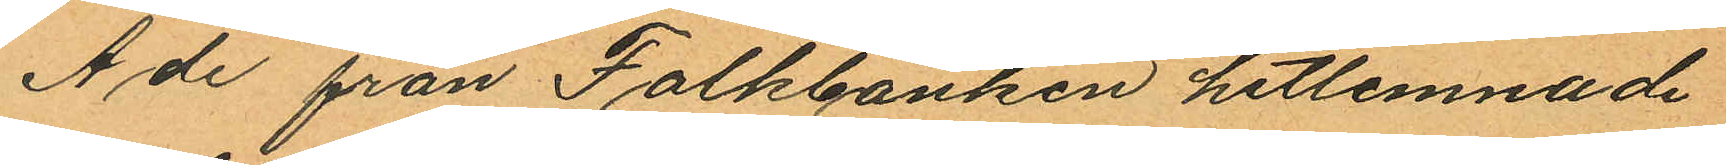Å de från Folkbanken hitlemnade
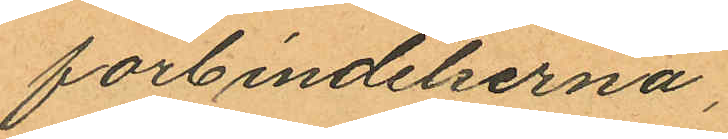förbindelserna;
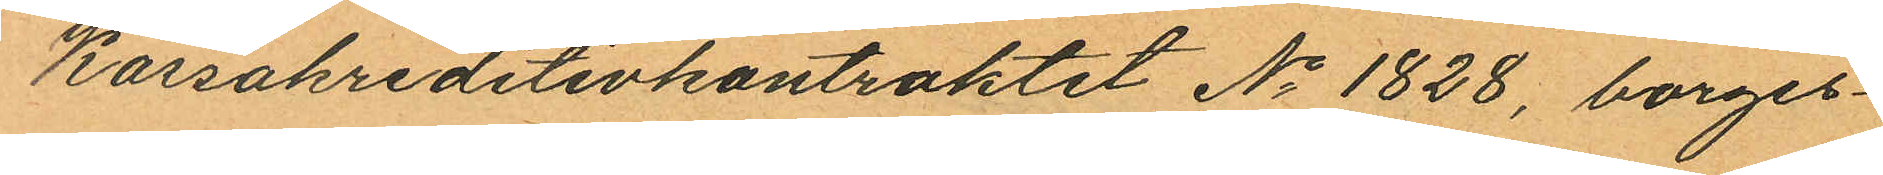Kassakreditivkontraktet No 1828, borges¬
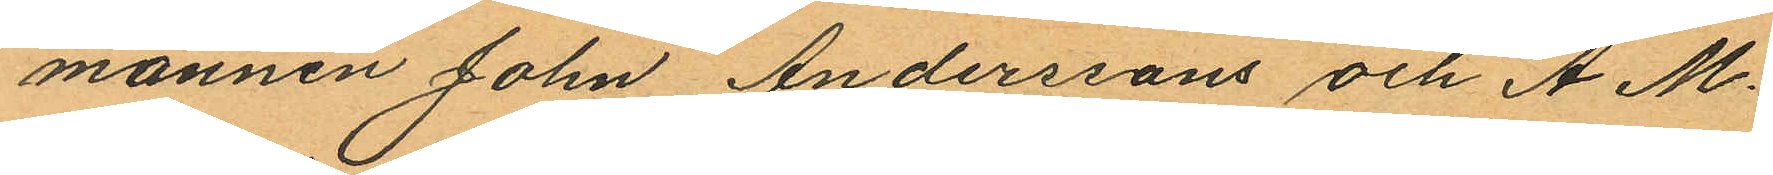männen John Anderssons och A. M.
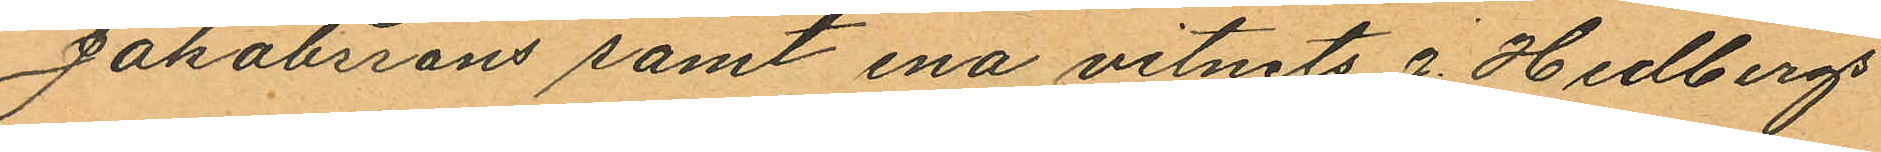Jakobssons samt ena vitnets E. Hedlbergs
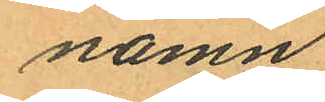namn
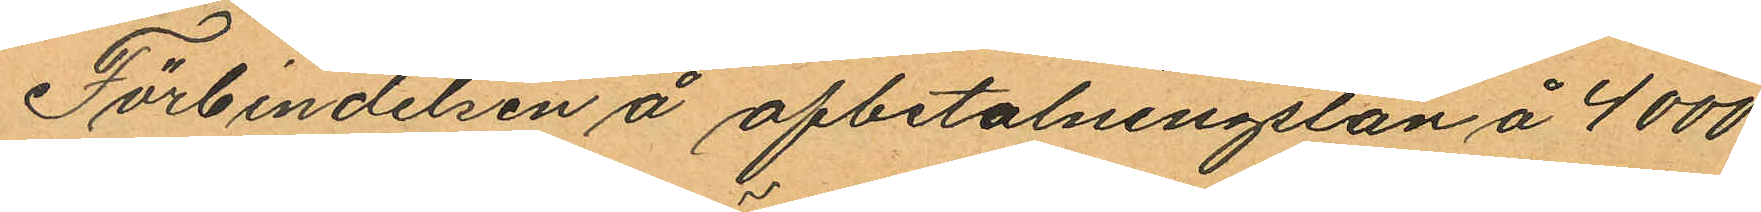Förbindelsen å afbetalningslån å 4 000
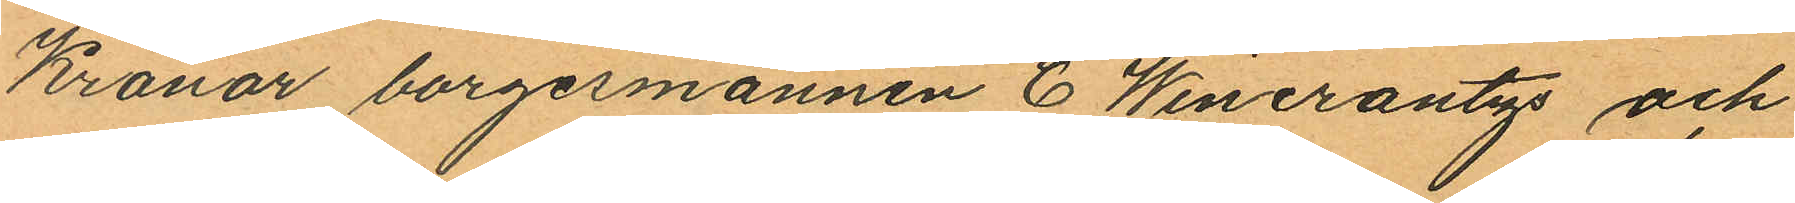Kronor borgesmännen C Wincrantzs och
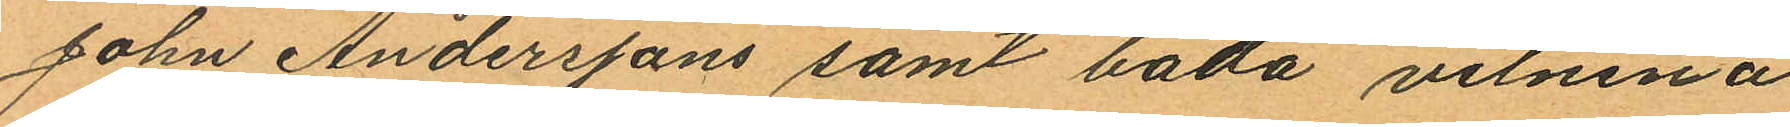John Anderssons samt båda vitnena 
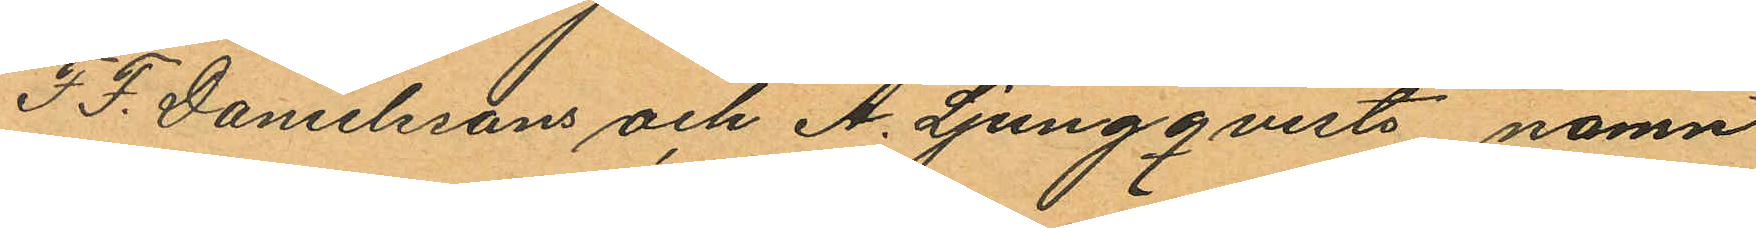F. F. Danelssons och A. Ljungqvists namn
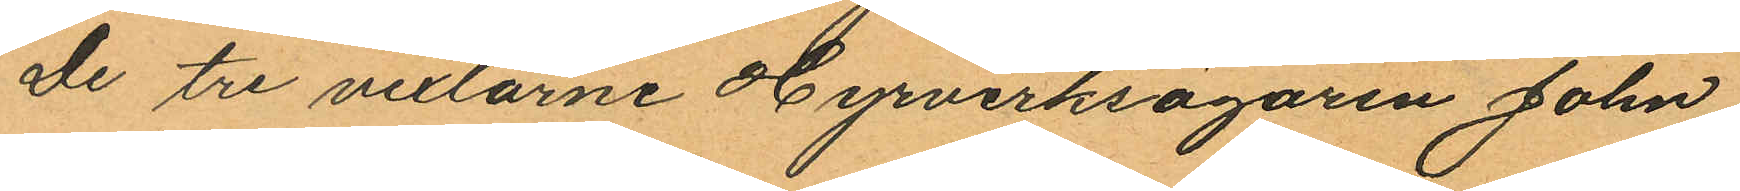De tre vexlarne Hyrverksägaren John
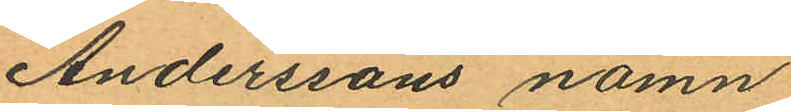Anderssons namn
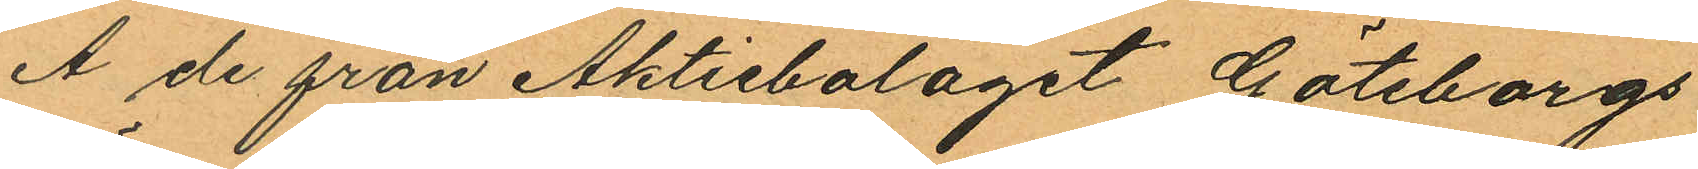Å de från Aktiebolaget Göteborgs
